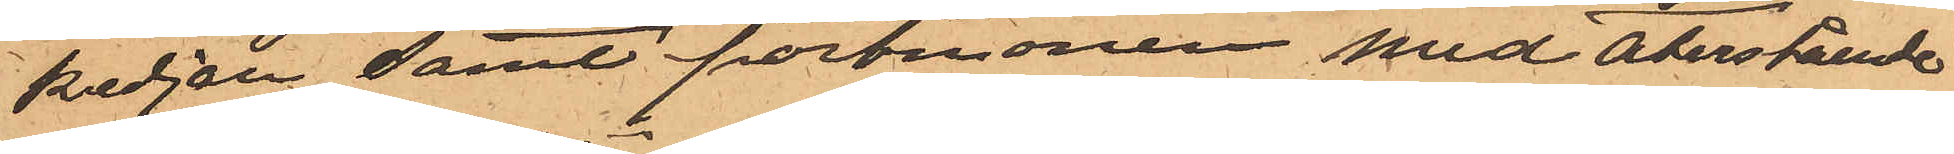kedjan samt portmonien med återstående
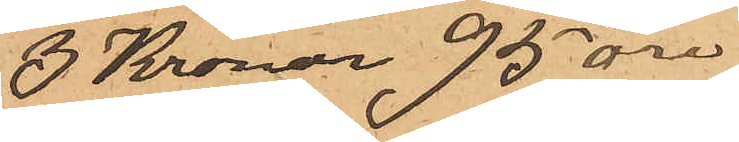3 Kronor 95 öre
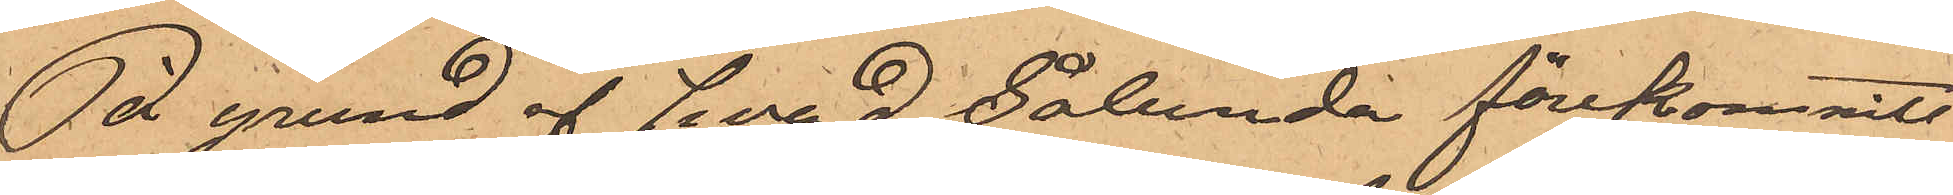På grund af hvad sålunda förekommit
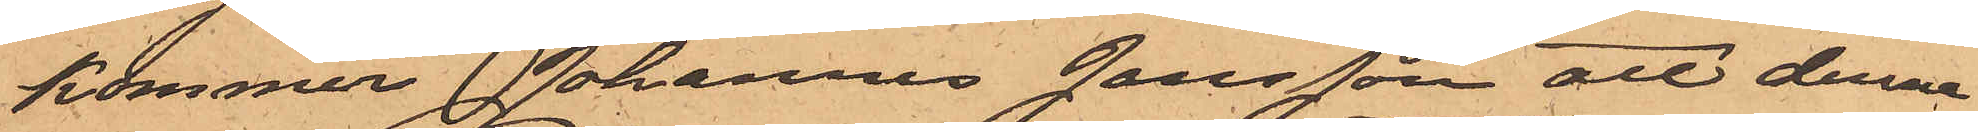kommer Johannes Jansson att denna
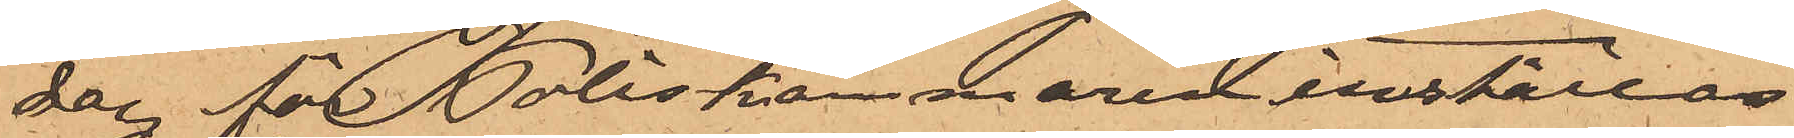dag för Poliskammaren inställas.
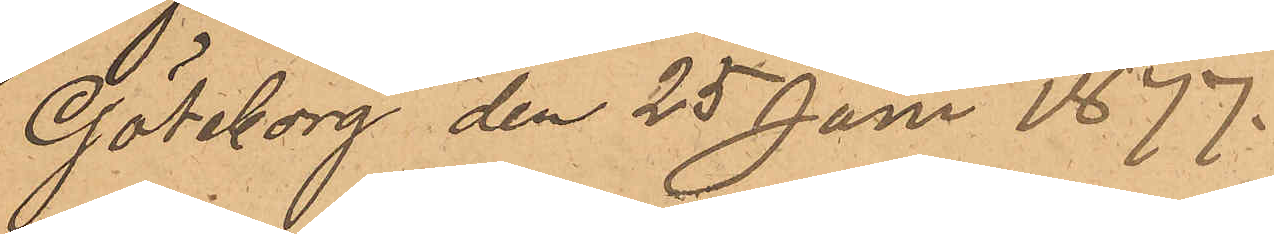Göteborg den 25 Juni 1877.
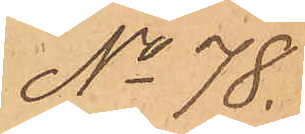No 78.
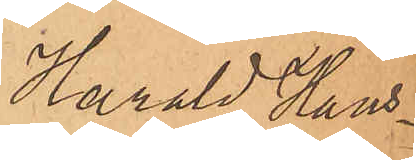Harald Hans¬
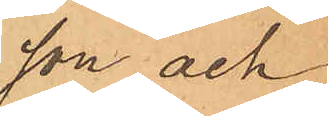son och
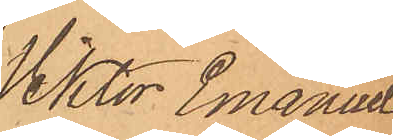Viktor Emanuel
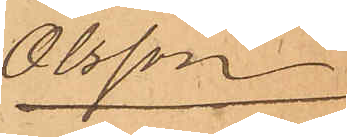Olsson
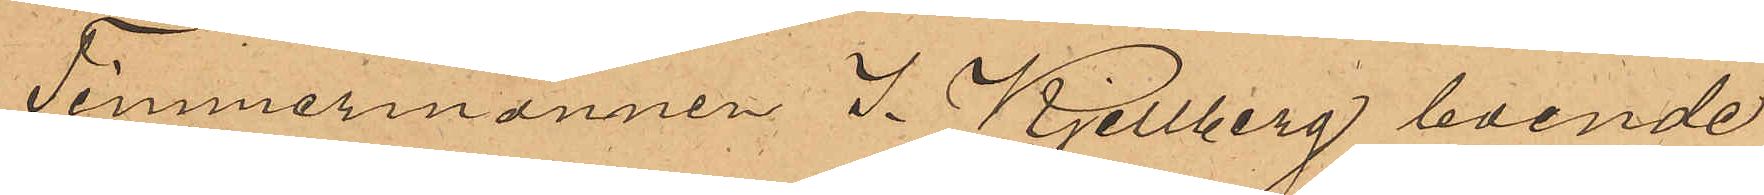Timmermannen J. Kjellberg, boende
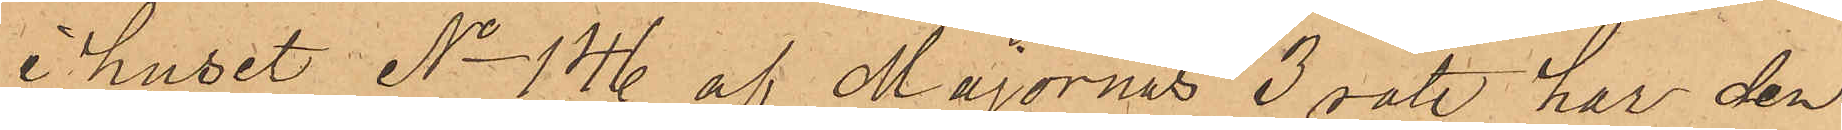i huset No 146 af Majornas 3 rote, har den
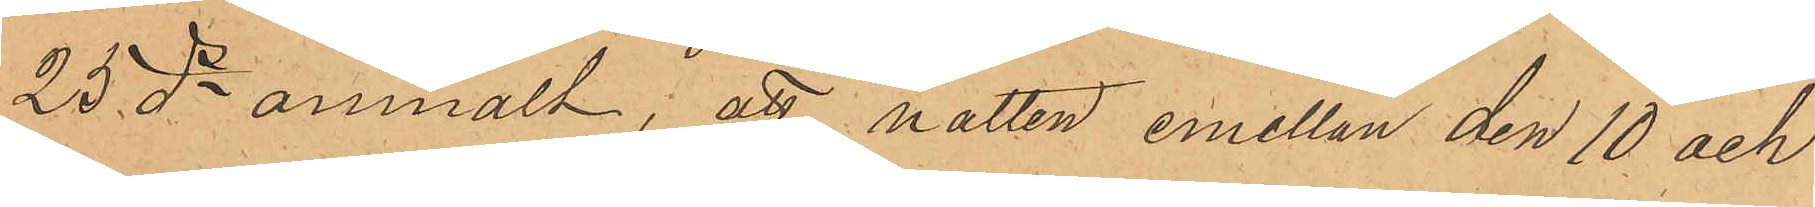25 ds anmält; att natten emellan den 10 och
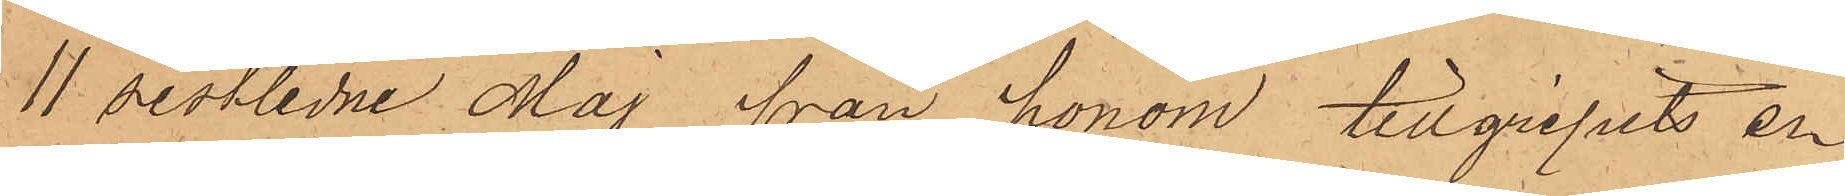11 sistlidne Maj från honom tillgripits en
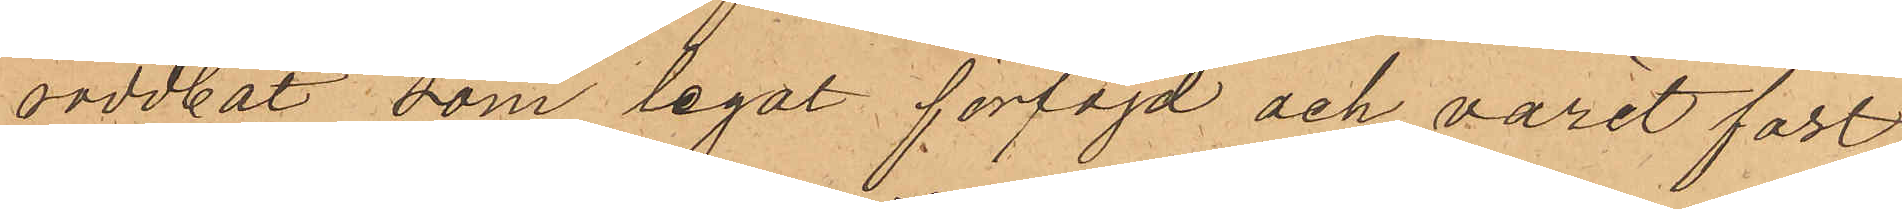roddbåt som legat förtöjd och varit fast¬
